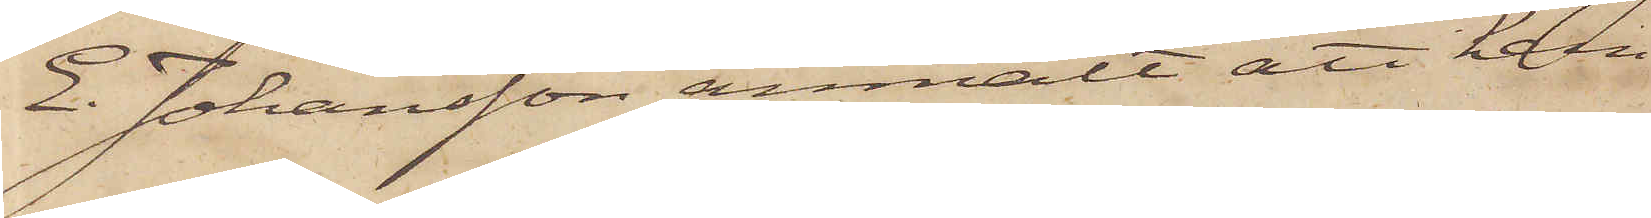E. Johansson anmält att han
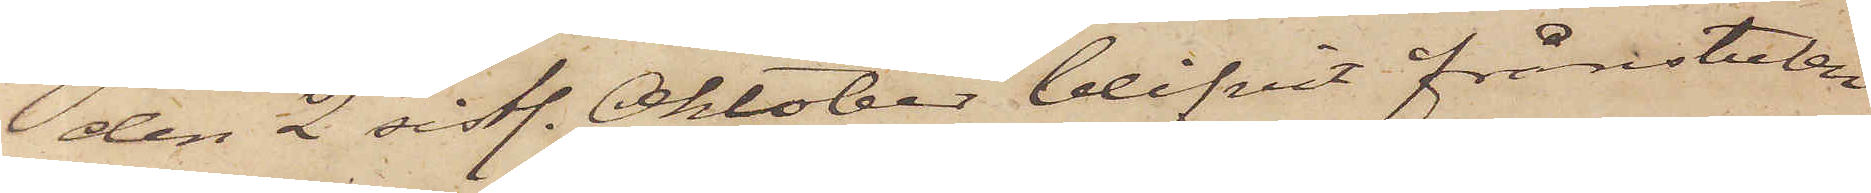den 2 sistl. Oktober blifvit frånstulen
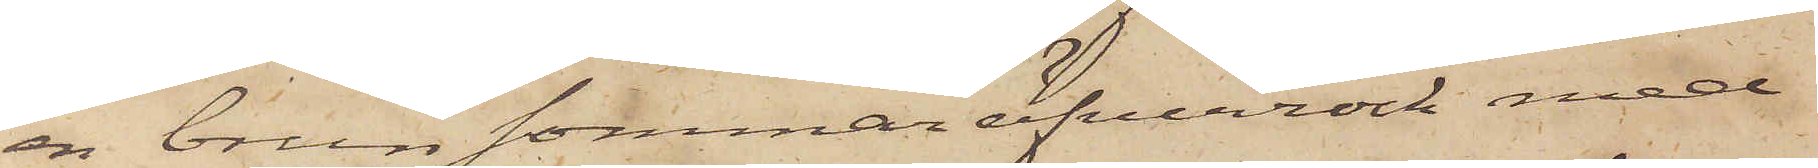en brun sommaröfverrock med
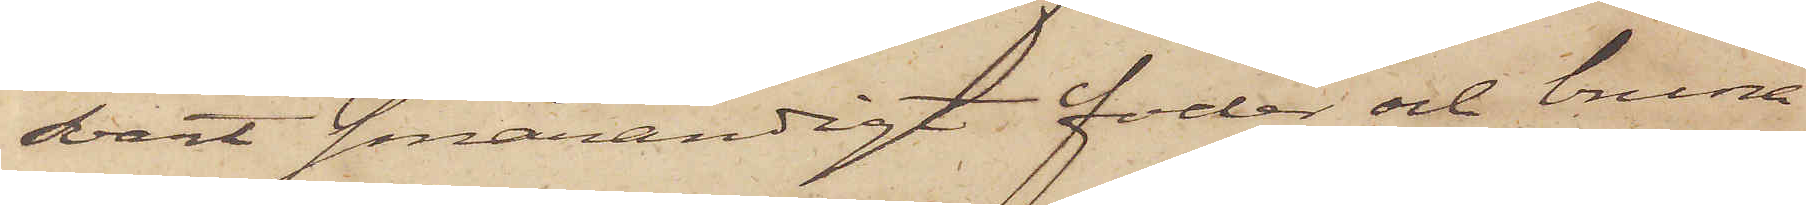svart smårandigt foder och bruna
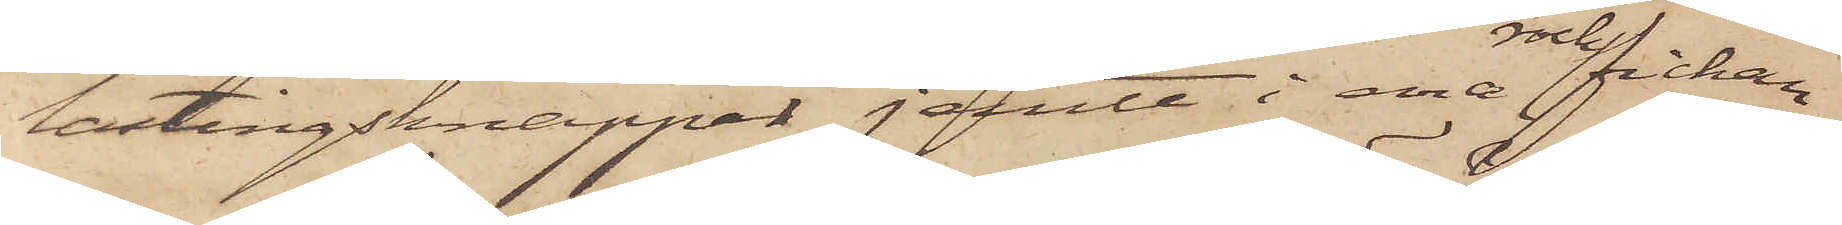lastingsknappar jemte i ena rockfickan
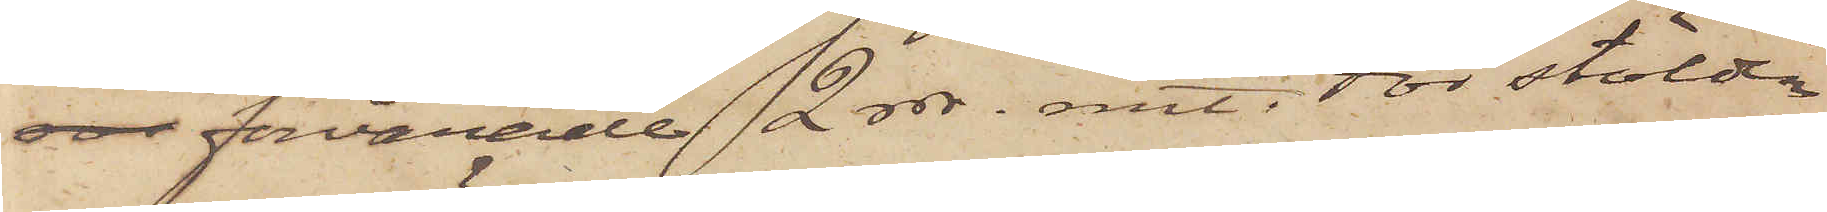sor förvarade 2 rdr rmt. För stölden
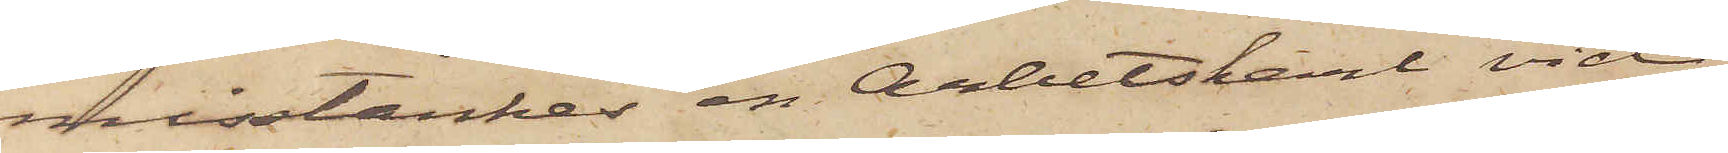misstänkes en Arbetskarl vid
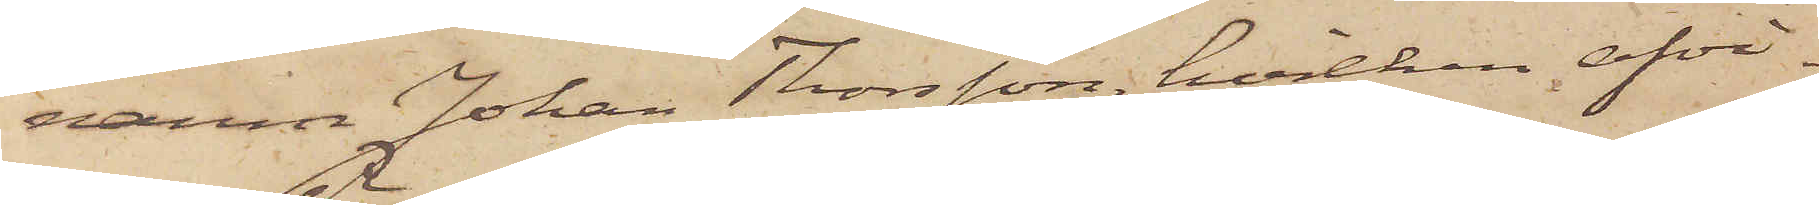namn Johan Thorsson, hvilken afvi¬
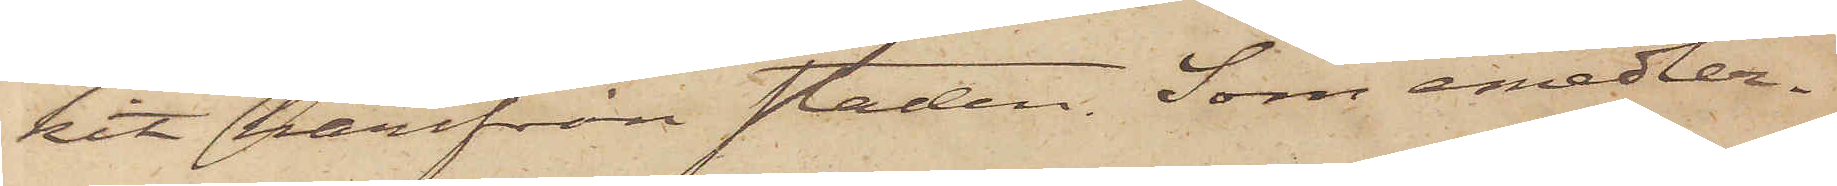kit härifrån staden. Som emedler¬
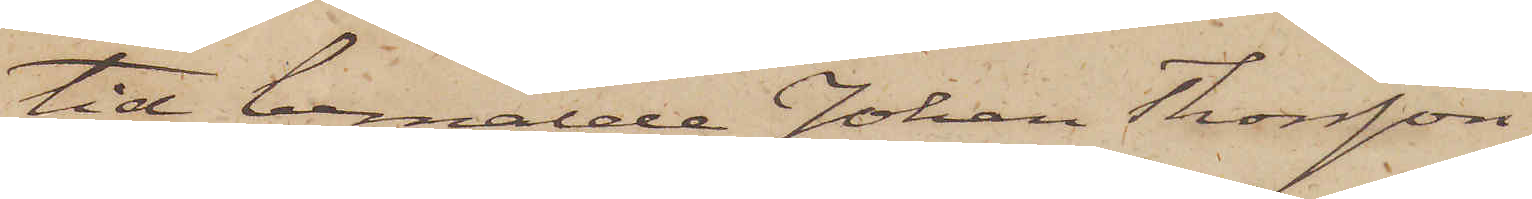tid bemälde Johan Thorsson
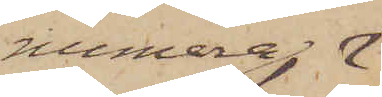numera
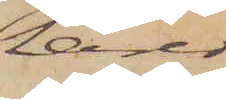lärer
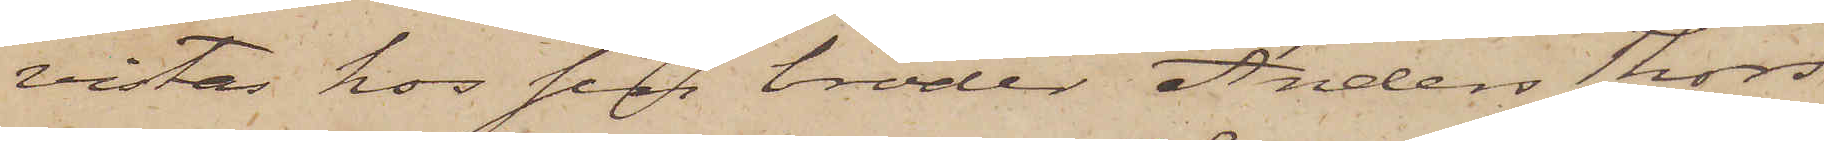vistas hos sin broder Anders Thors¬
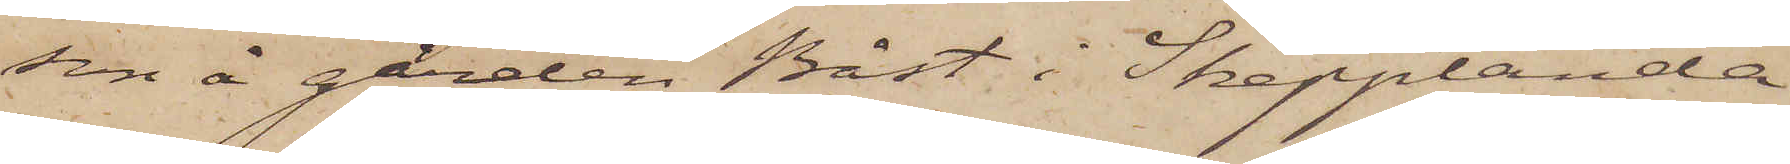son å gården Båst i Skepplanda
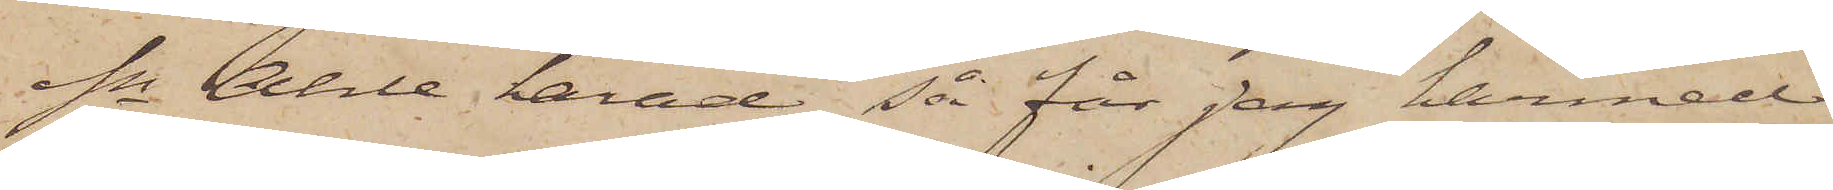sn Ahle härad, så får jag hermed
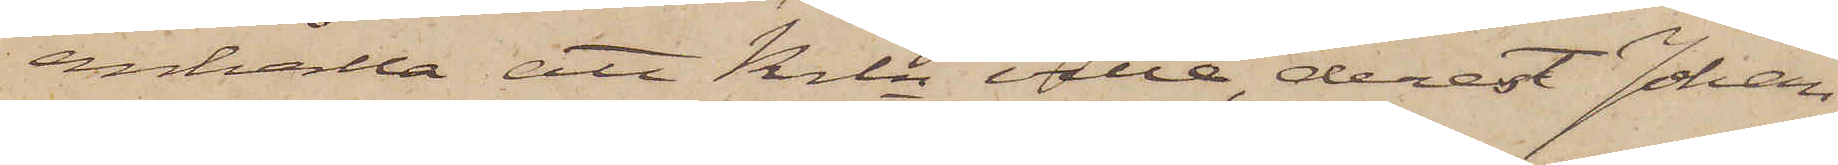anhålla att Krln ville, derest Johan
